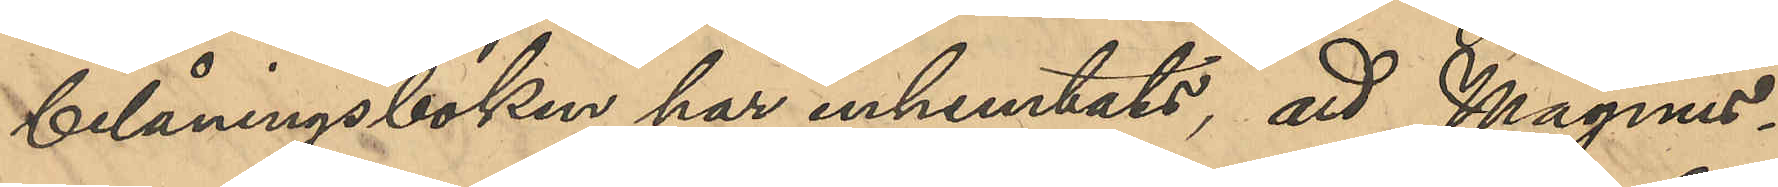belåningsboken har inhemtats, att Magnus¬
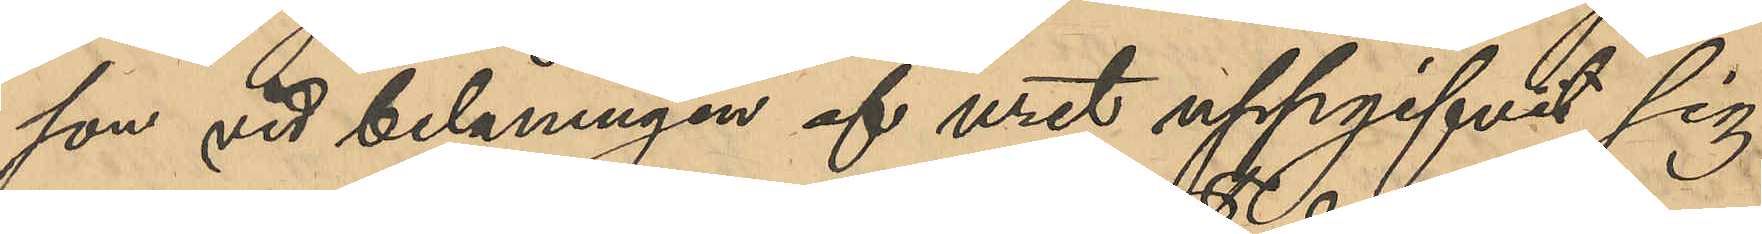son vid belåningen af uret uppgifvit sig
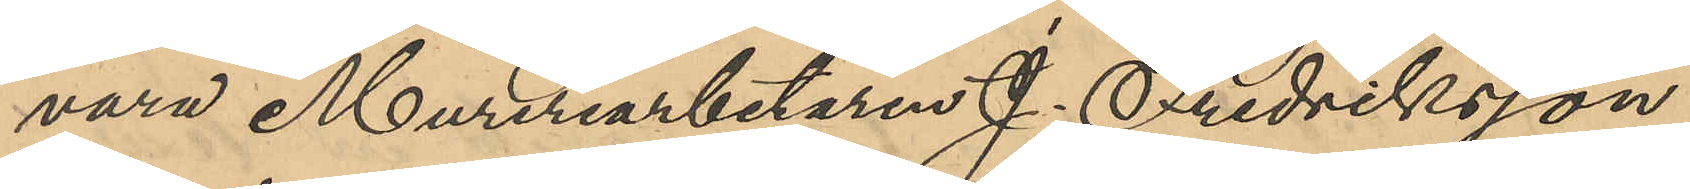vara Mureriarbetaren J. Fredriksson,
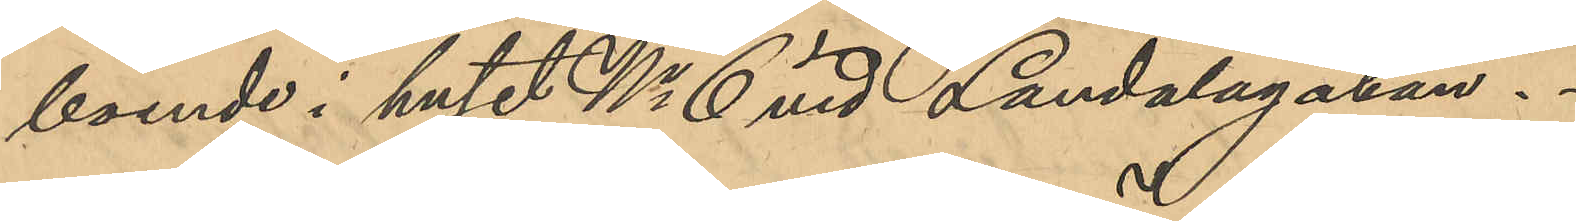boende i huset No 6 vid Landalagatan.
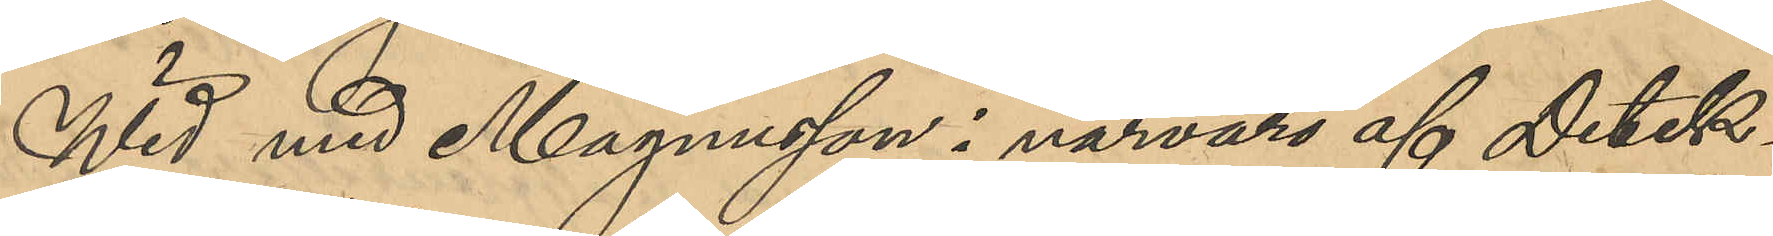Wid med Magnusson i närvaro af Detek¬
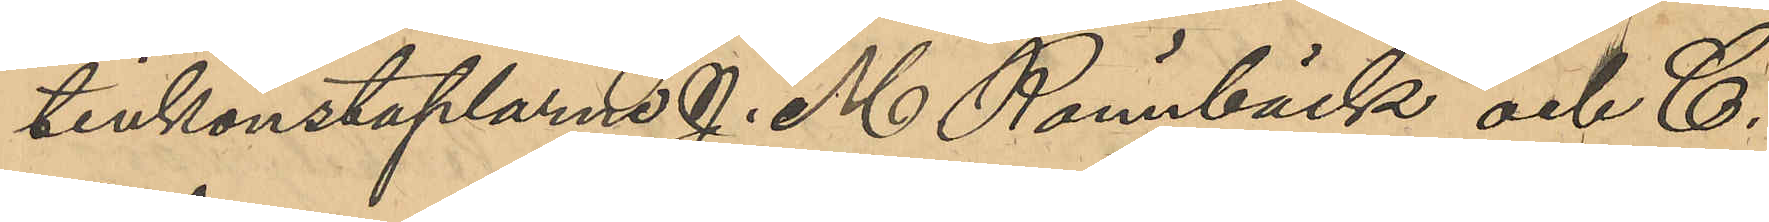tivkonstaplarne J. M. Rönnbäck och C.
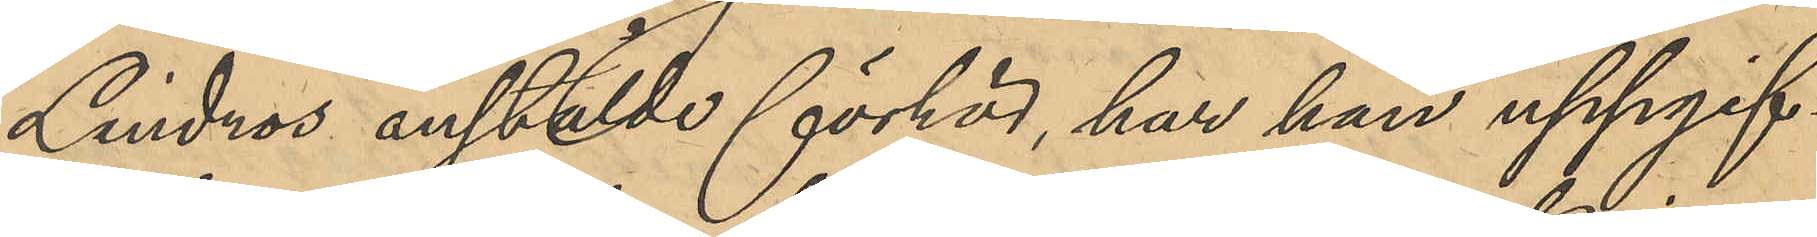Lindros anstälde förhör, har han uppgif¬
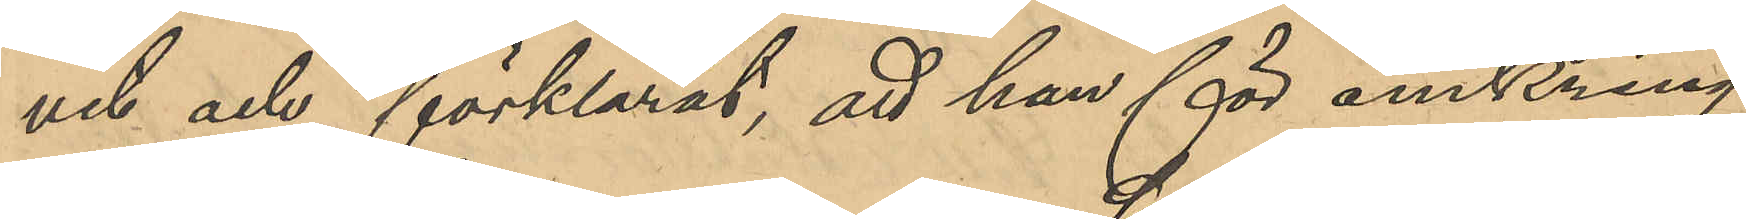vit och förklarat, att han för omkring
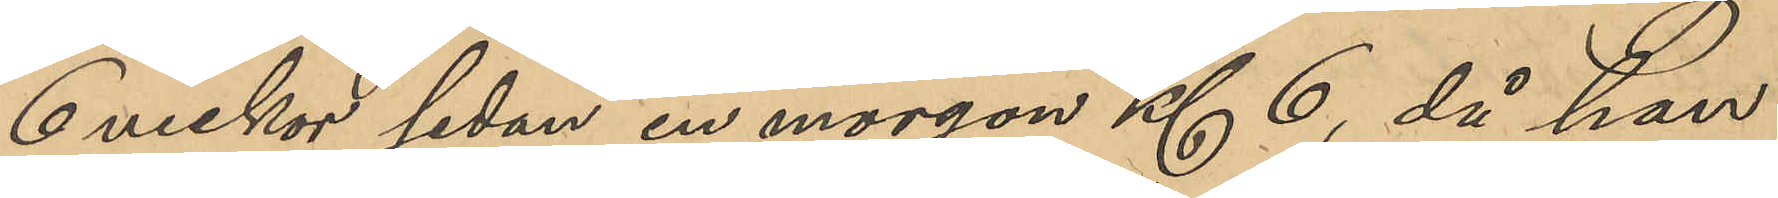6 veckor sedan en morgon Kl 6, då han
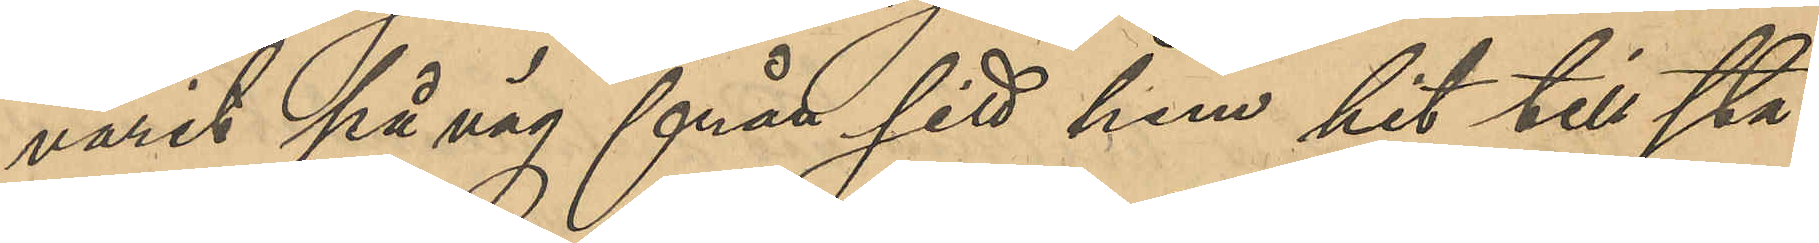varit på väg från sitt hem hit till sta¬
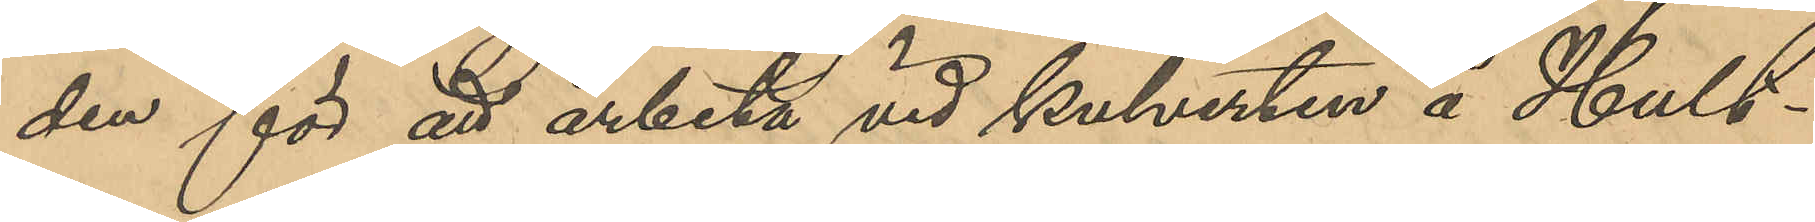den för att arbeta vid kulverken å Hult¬
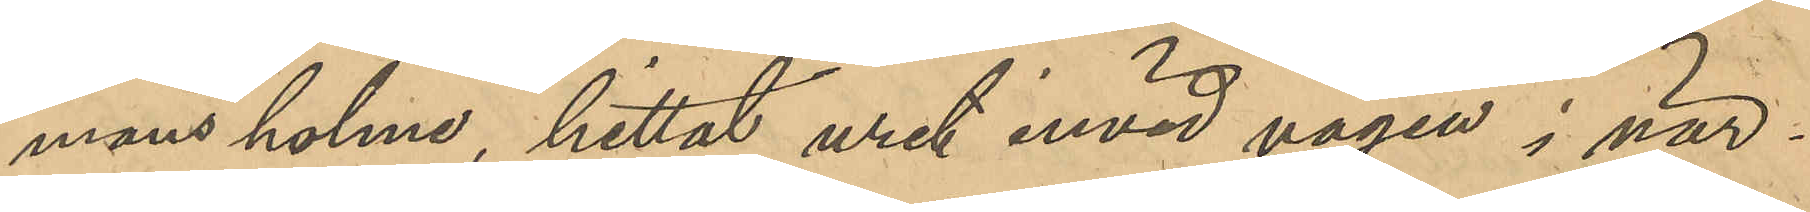mans holme, hittat uret invid vägen i när¬
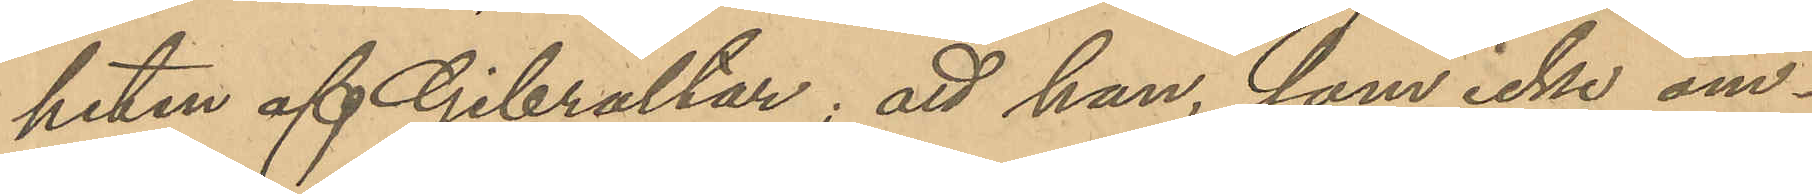heten af Gibraltar; att han, som icke om¬
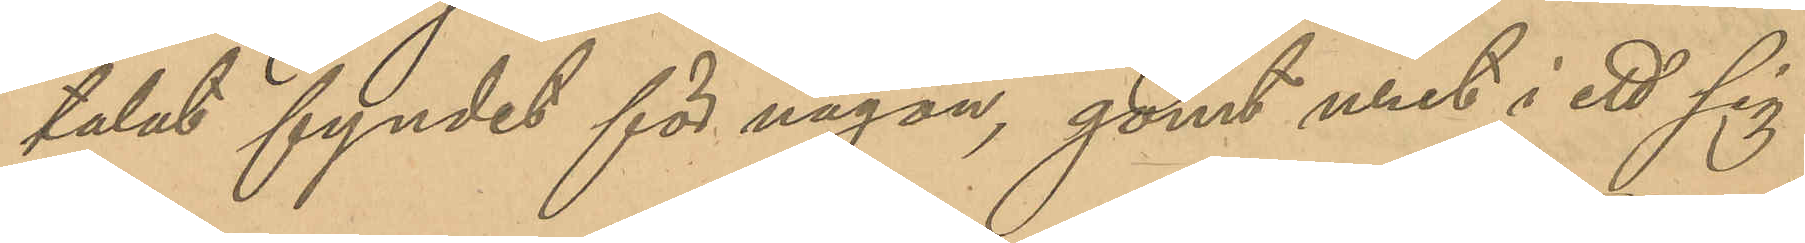talat fyndet för någon, gömt uret i ett sig
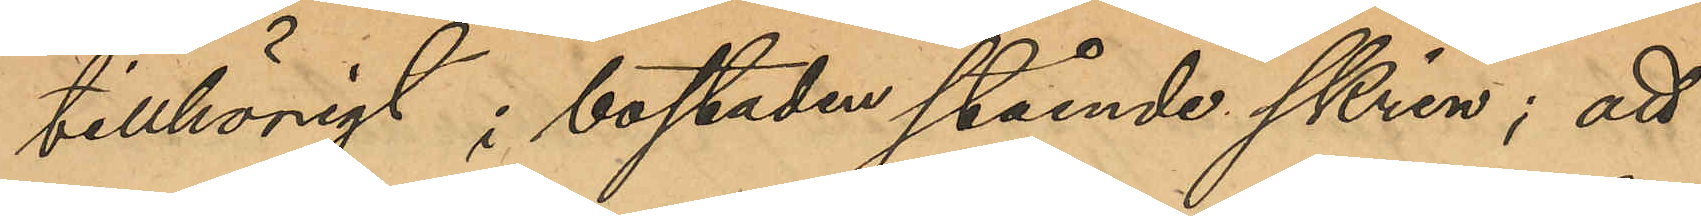tillhörigt i bostaden stående skrin; att
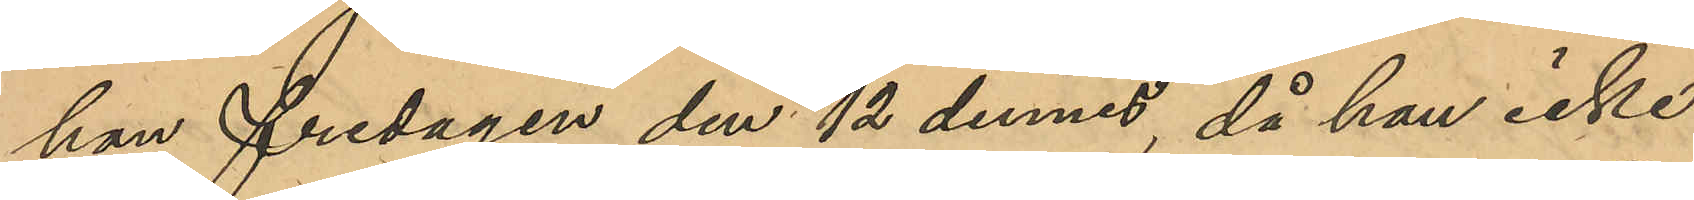han fredagen den 12 dennes, då han icke
